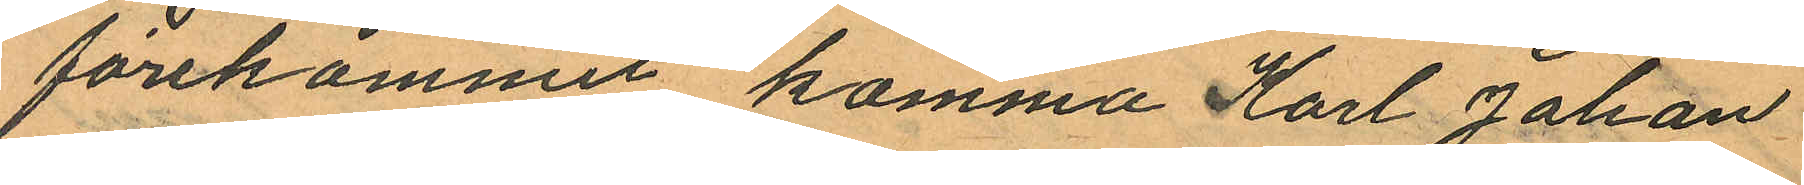förekommit komma Karl Johan
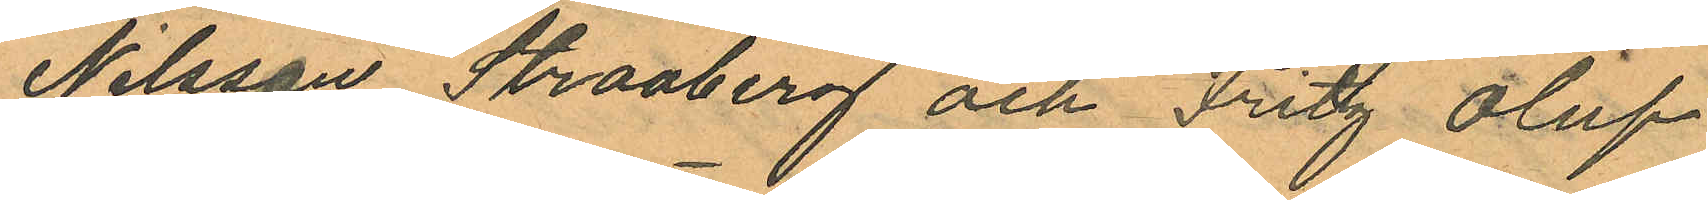Nilsson Straaberg och Fritz Oluf
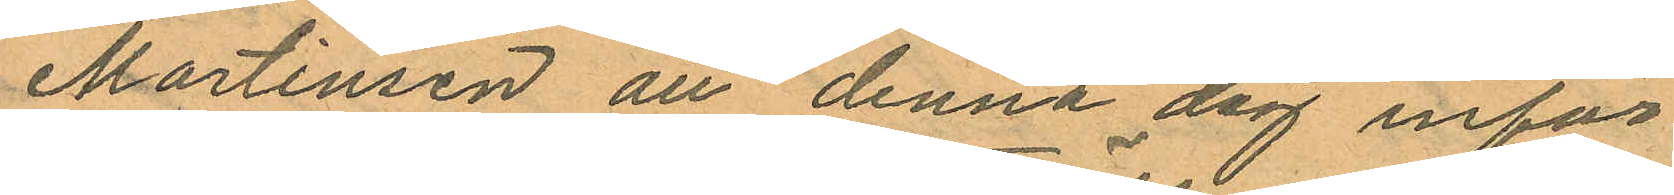Martinsen att denna dag inför
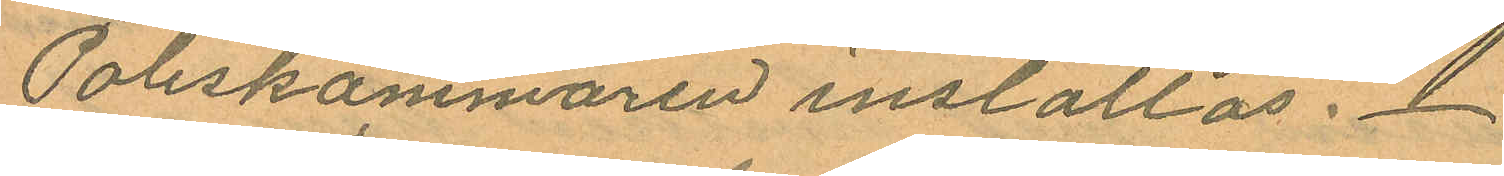Poliskammaren inställas.
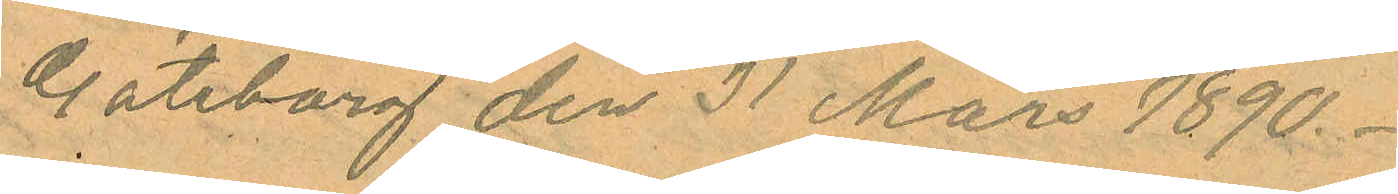Göteborg den 31 Mars 1890.
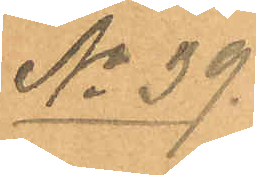No 39.
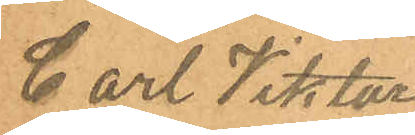Carl Viktor
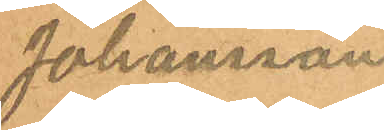Johansson
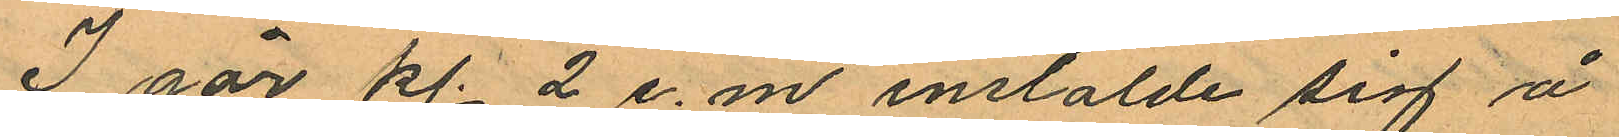I går kl. 2 e.m. instälde sig å
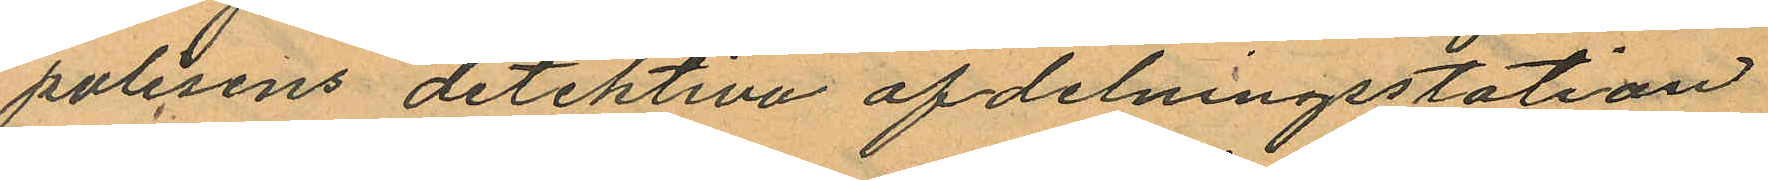polisens detektiva afdelningsstation
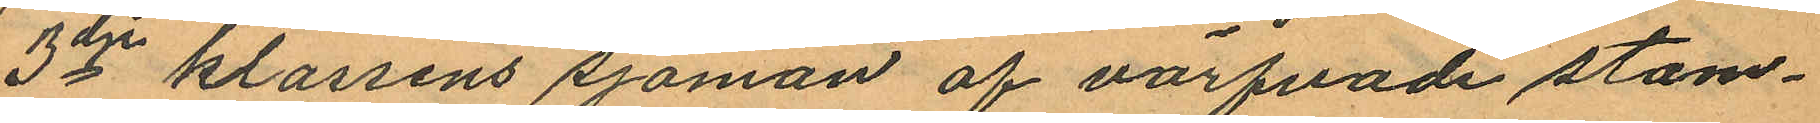3dje klassens sjöman af värfvade stam¬
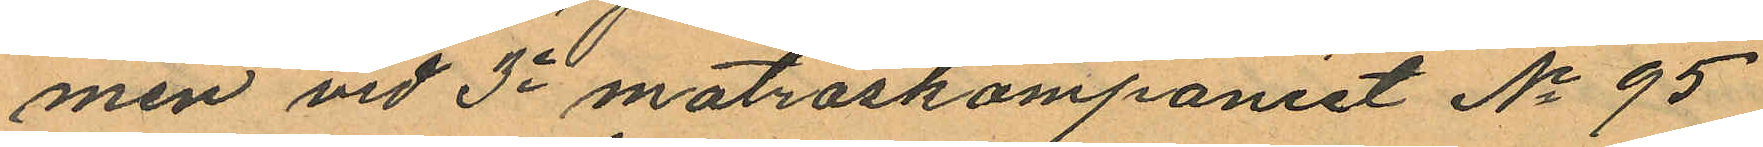men vid 3e matroskompaniet No 95
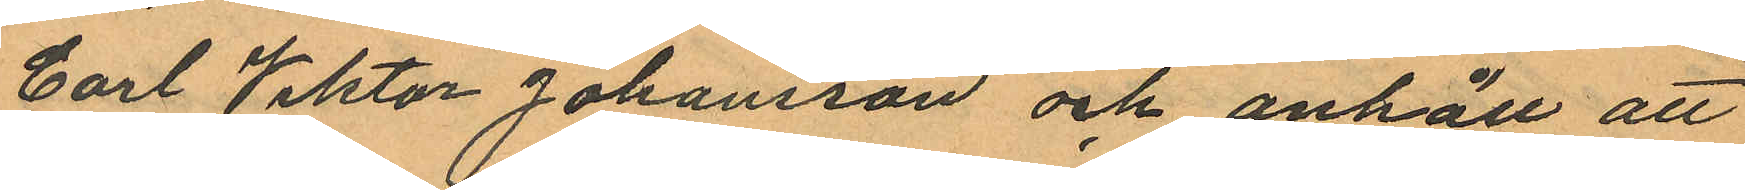Carl Viktor Johansson och anhöll att
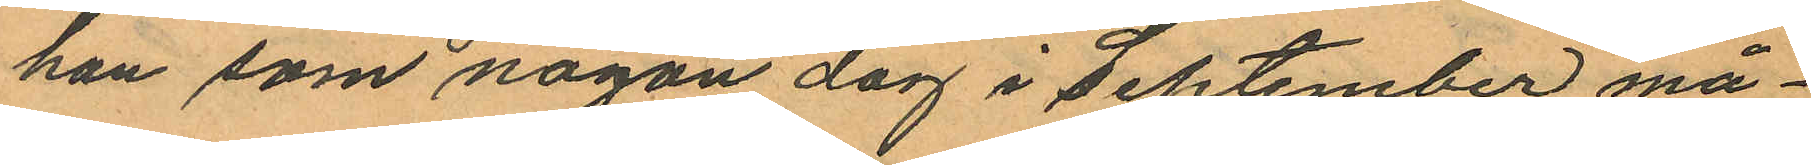han som någon dag i September må¬
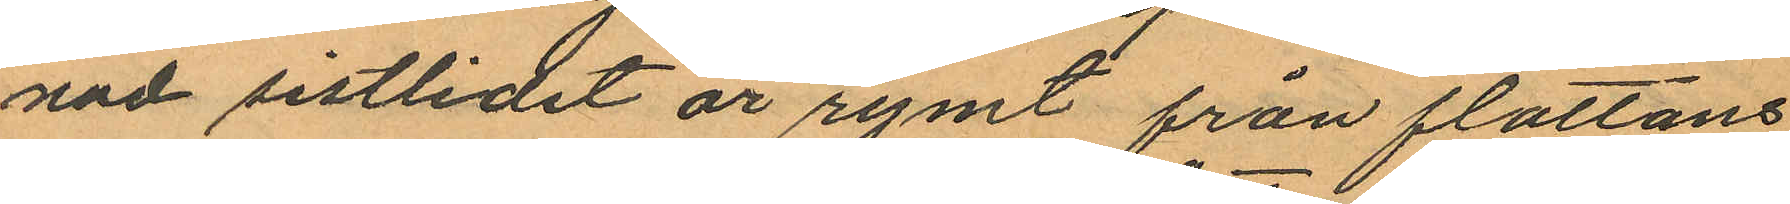nad sistlidet år rymt från flottans
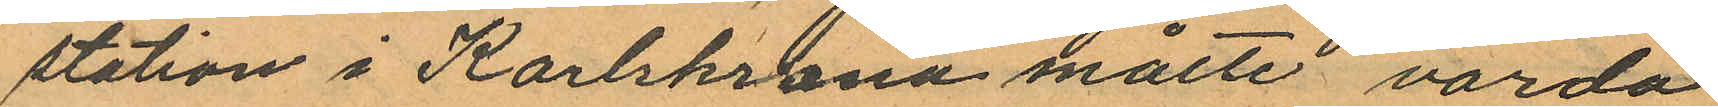station i Karlskrona måtte varda
